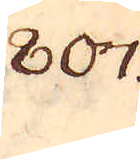807.
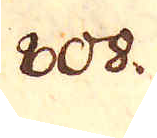808.
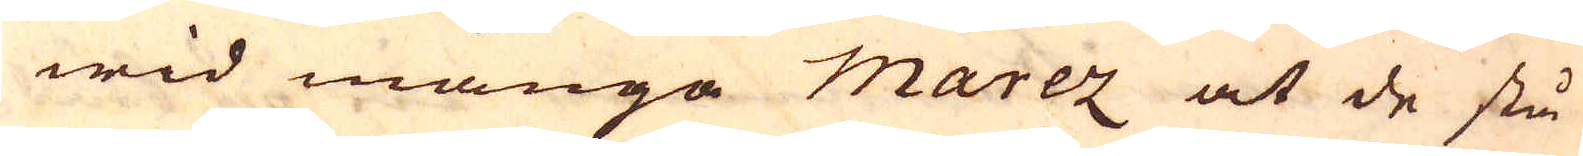wid många Marez at de stå
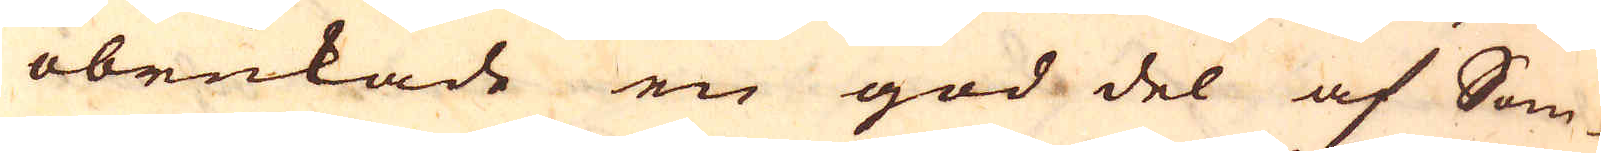obrukade en god del af Som-
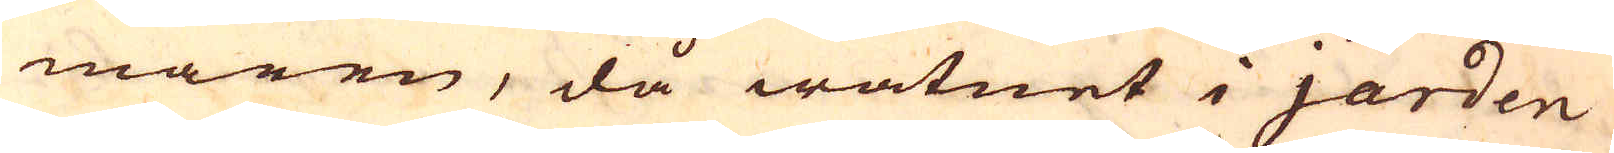maren, då watnet i jorden
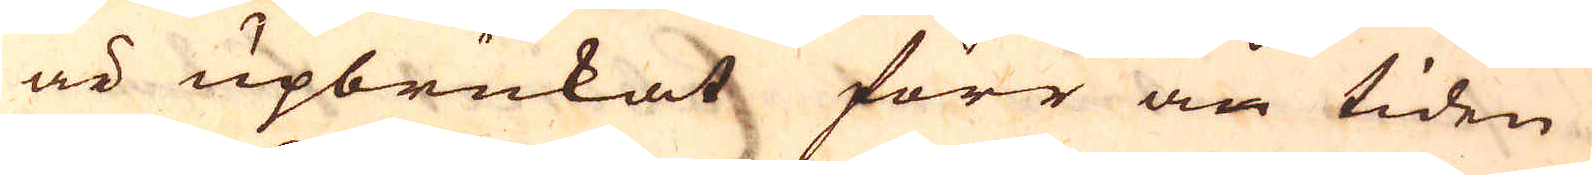är upbrukat förr än tiden
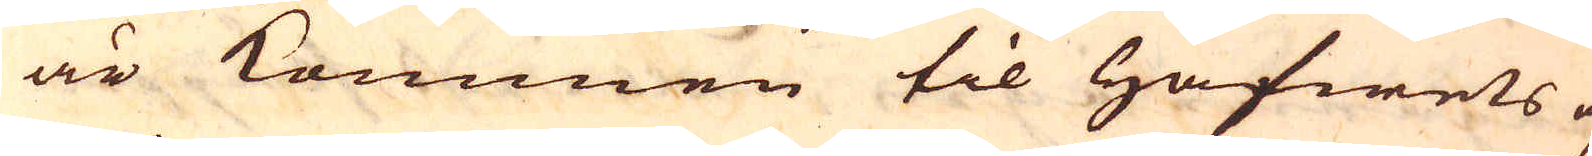är kommen til Hafwets up-
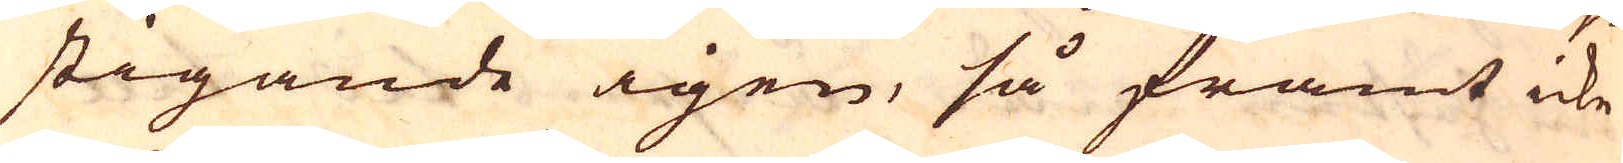stigande igen, så framt icke
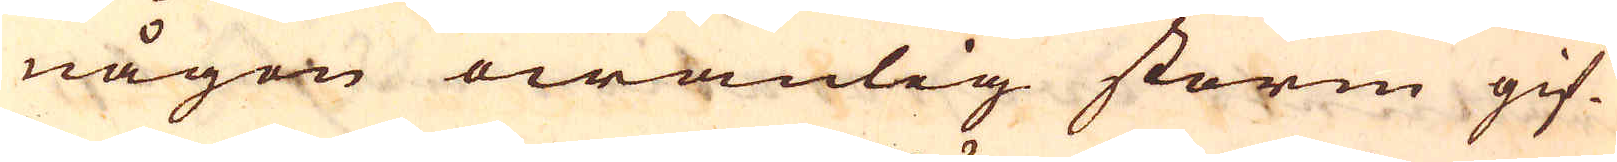någon owanlig storm gif-
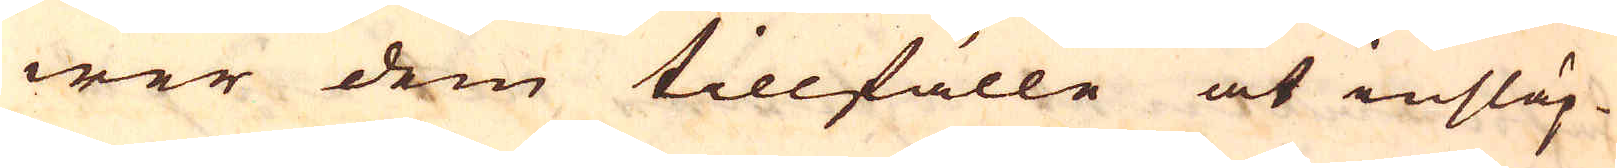wer dem tillfälle at insläp-
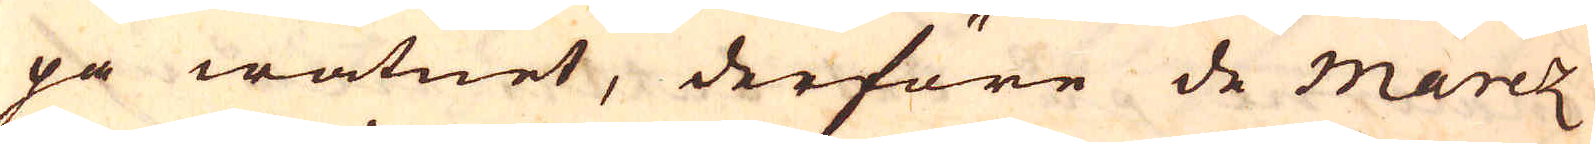pa watnet, derföre de marez
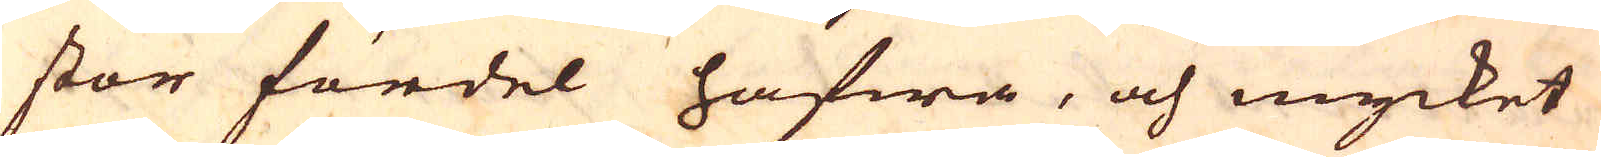stor fördel hafwa, och mycket
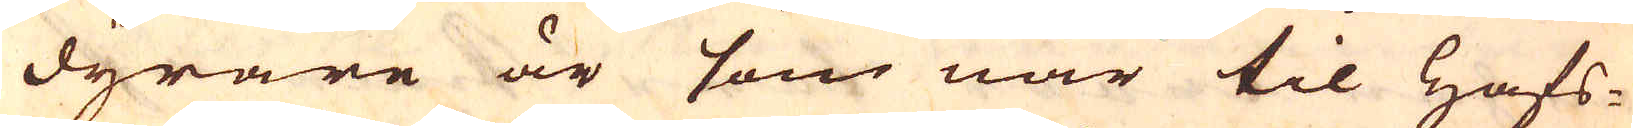dyrare är som när til Hafs-
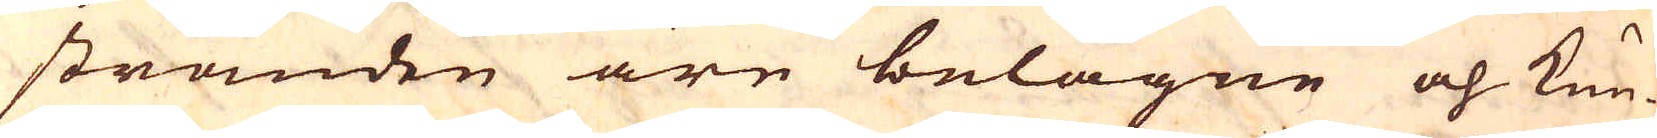stranden äre belägne och kun-
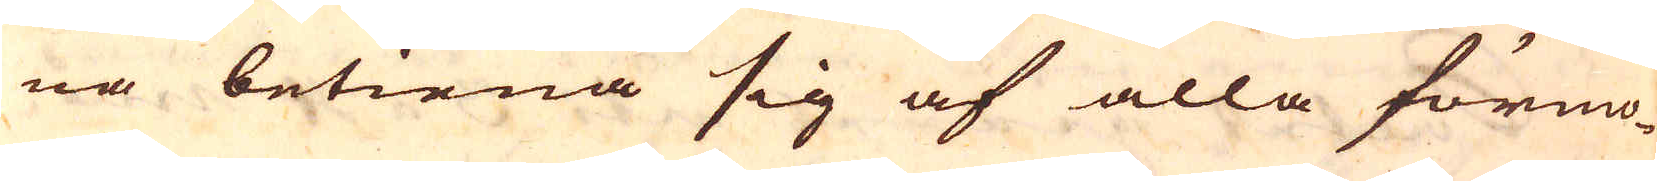na betiena sig af alla förmo-
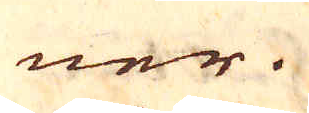ner.
